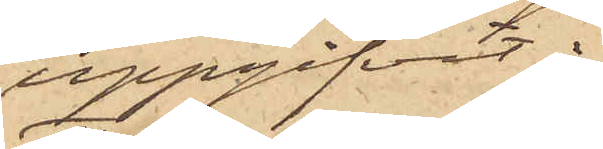uppgifvit:
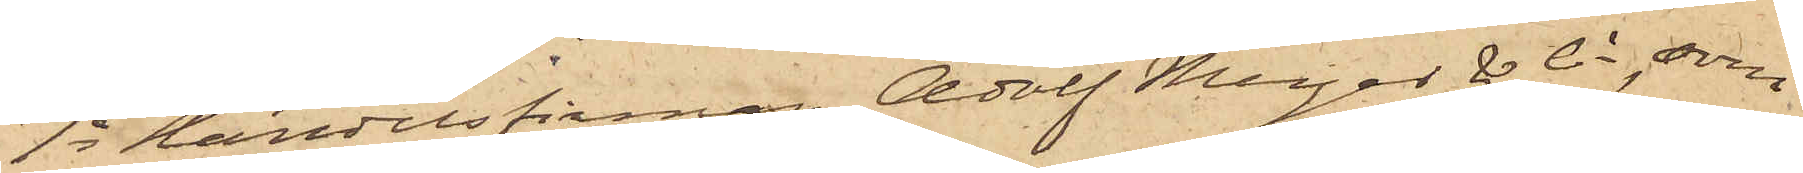1o Handelsfirman Adolf Meyer & Co, som
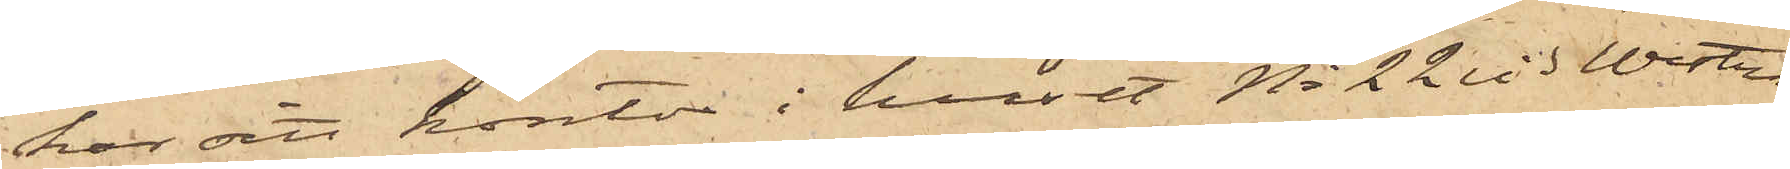har sitt kontor i huset No 22 vid Westra
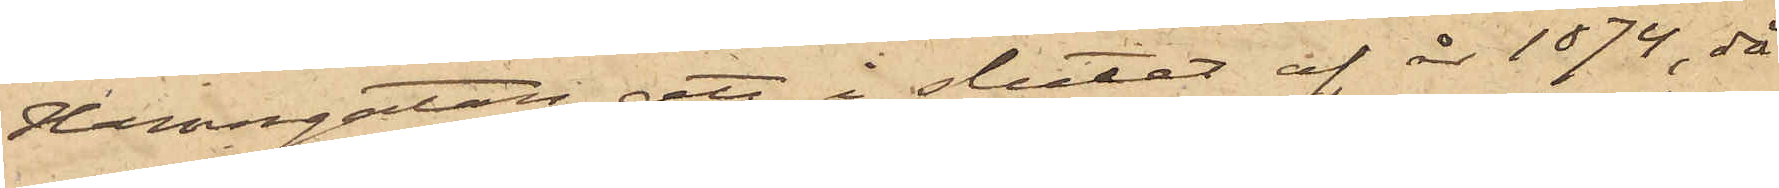Hamngatan, att i slutet af år 1874, då
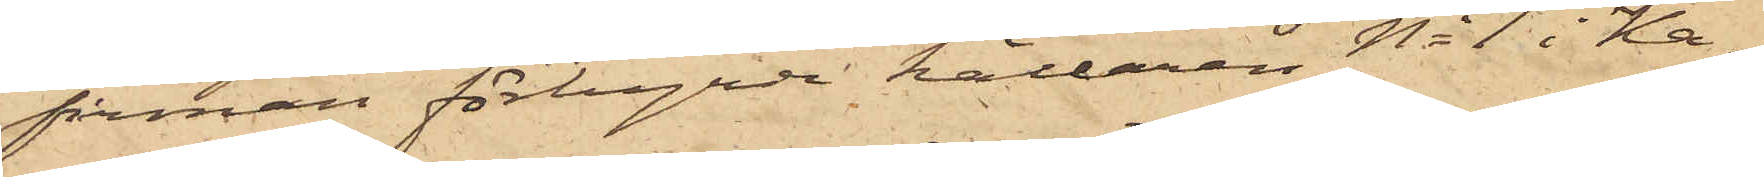firman förhyrde källaren No 1 i Ka¬
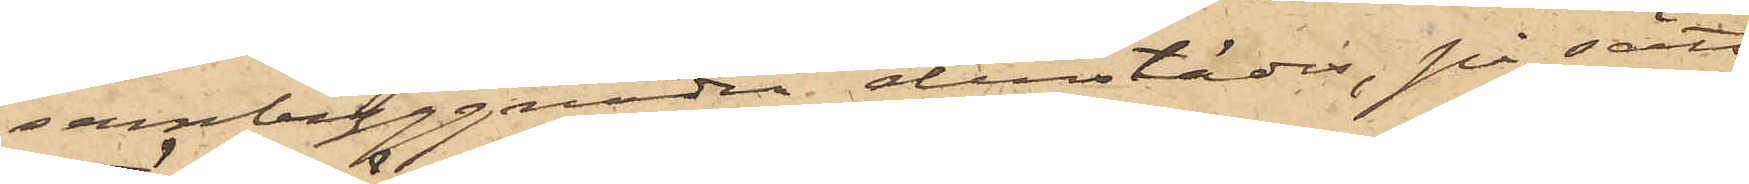sernbyggnaden derstädes, på sätt
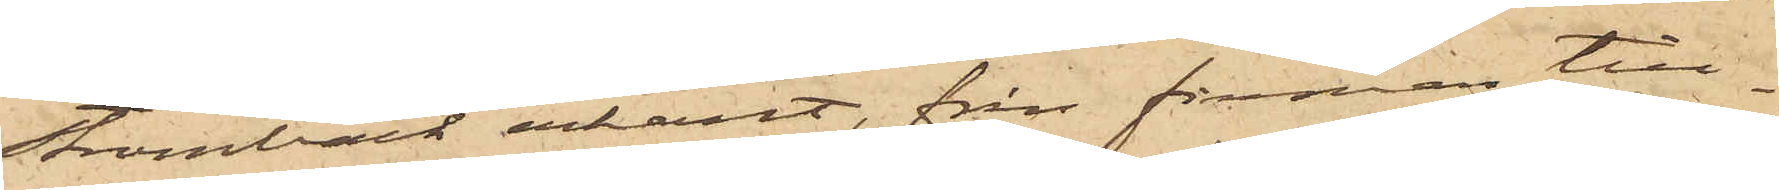Strömbäck erkänt, från firman till¬
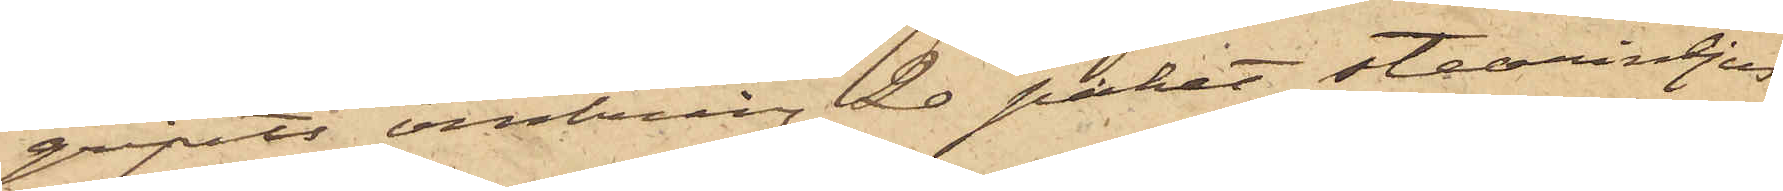gripits omkring 20 paket stearinljus,
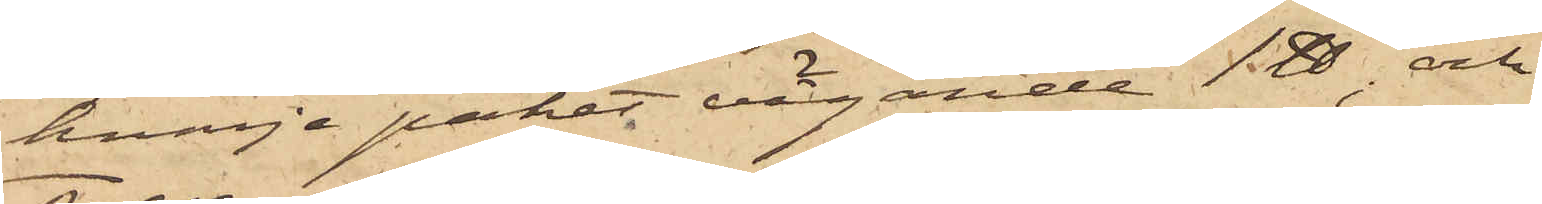hvarje paket vägande 1 ℔; och
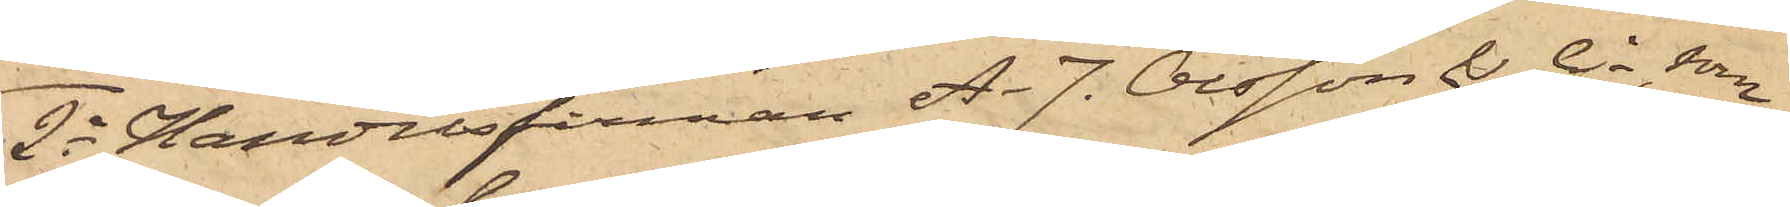2o Handelsfirman A. J. Olsson & Co, som
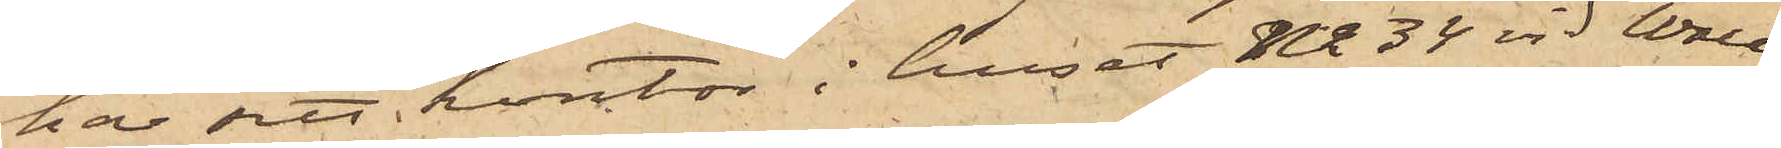har sitt kontor i huset No 34 vid Wall¬
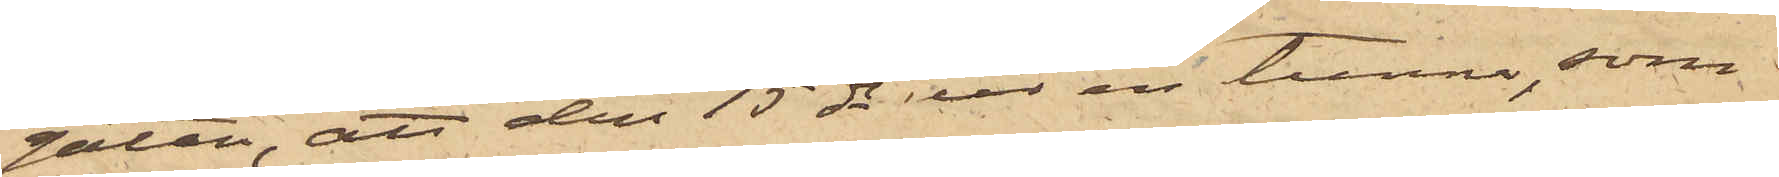gatan, att den 15 ds ur en tunna, som
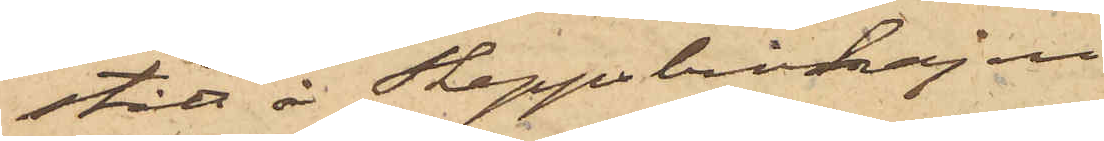stått å Skeppsbrokajen
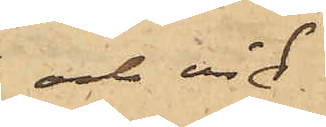och vid
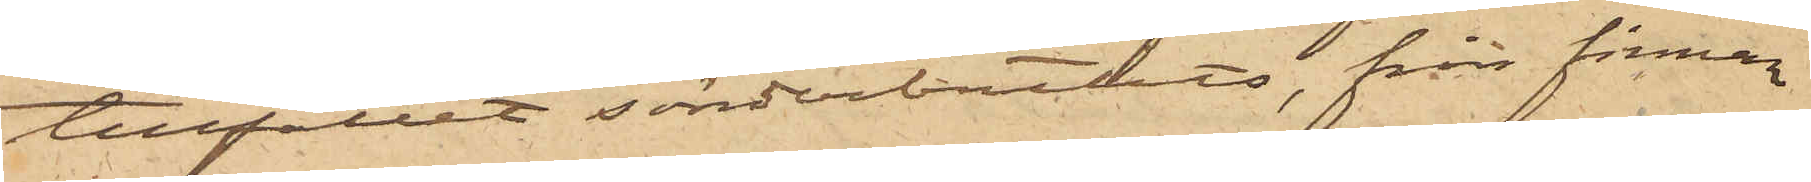tillfället sönderbrutits, från firman
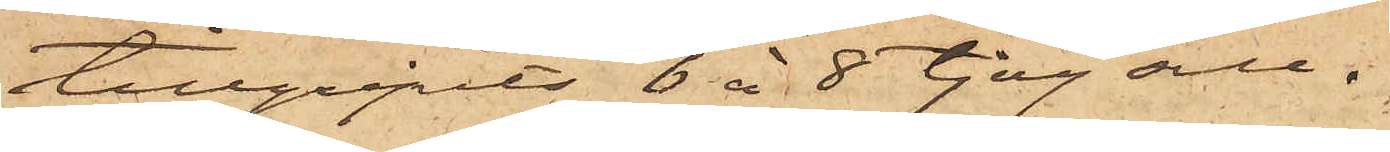tillgripits 6 à 8 tjog sill.
